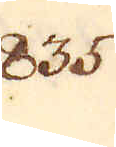835.
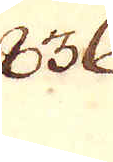836.
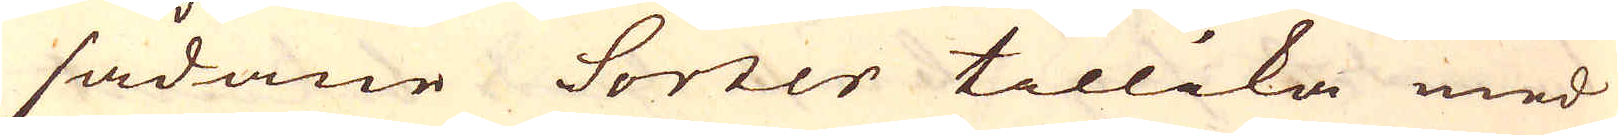sådane Sorter tillika med
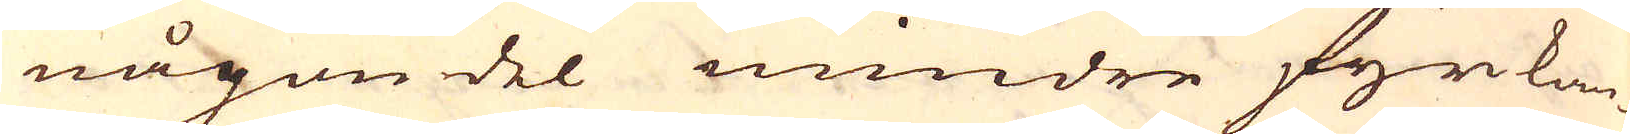någon del mindre fyrkan-
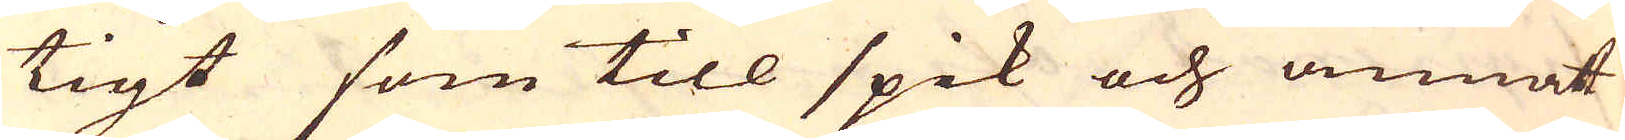tigt som till spik och annat
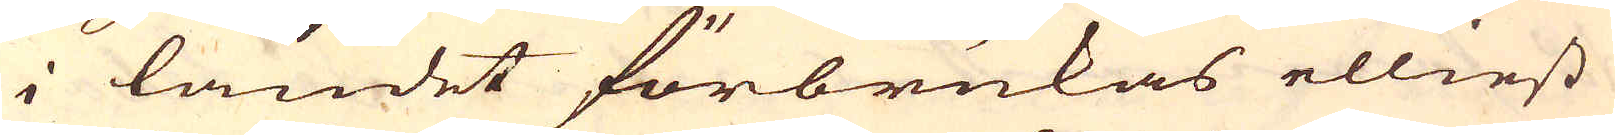i landet förbrukas elliest
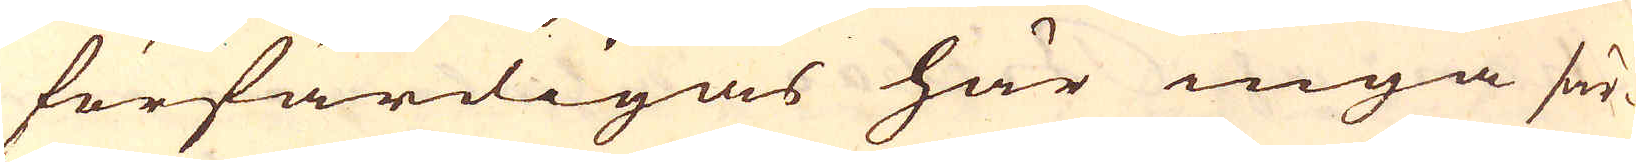förfärdigas här inga sär-
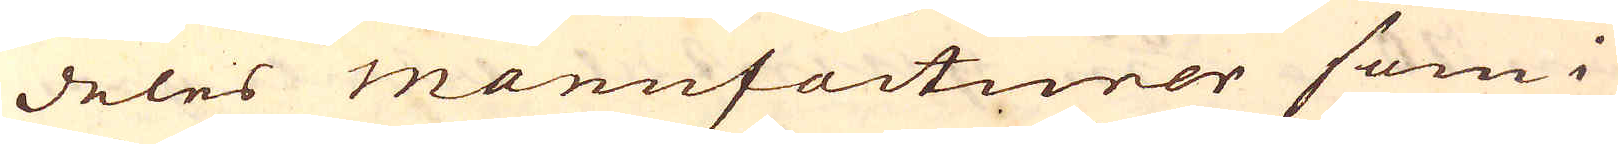deles manufacturer som i
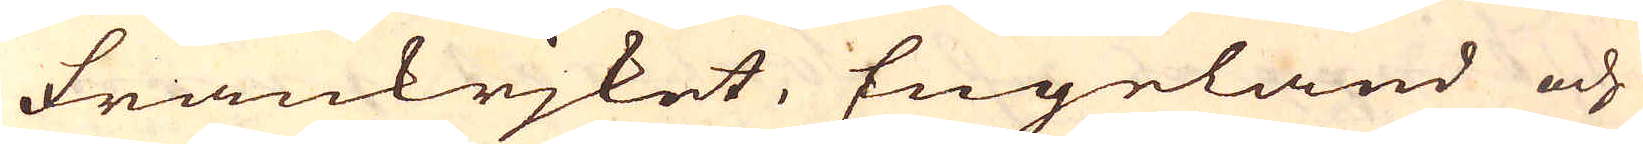Frankrjket, Engeland och
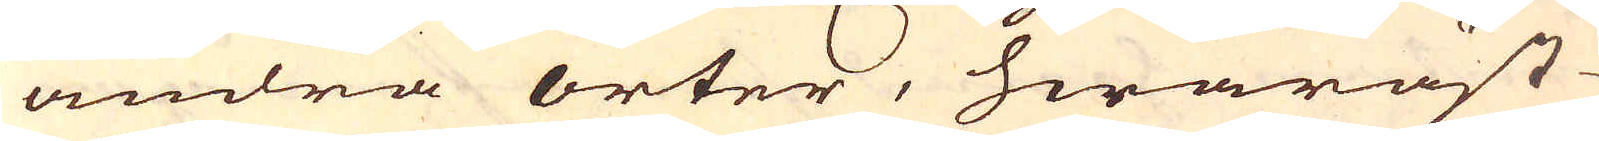andra orter, hwaräst
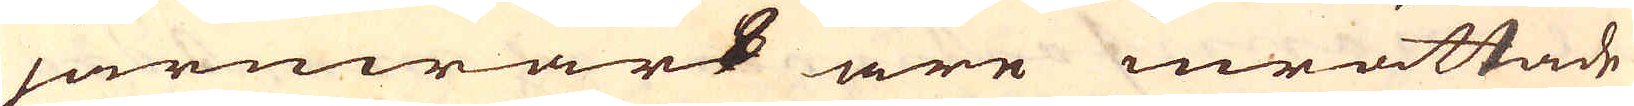järnwärk äre inrättade
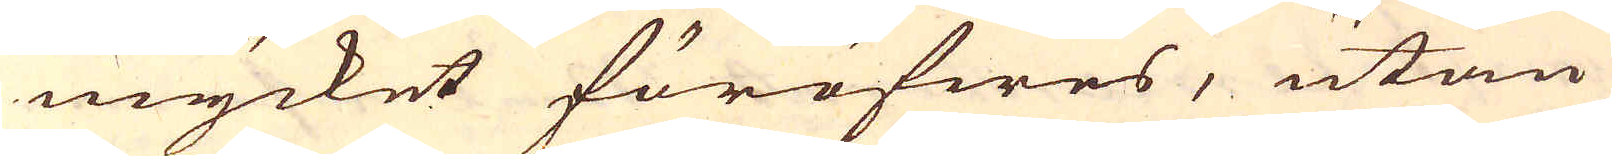mycket föröfwes, utan
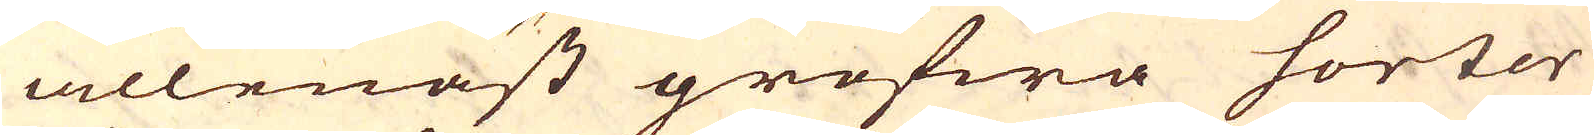allenast grofwa sorter
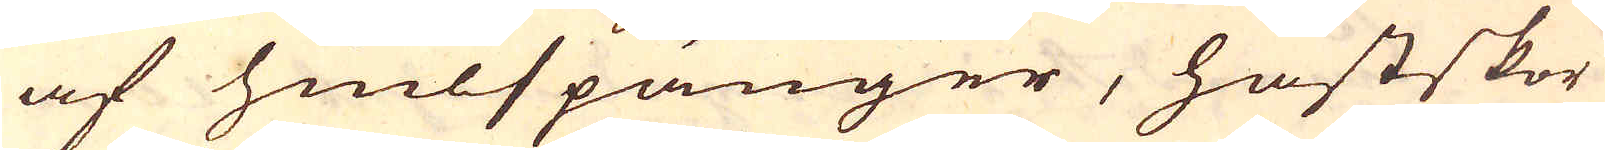af hiulspänger, hästskor
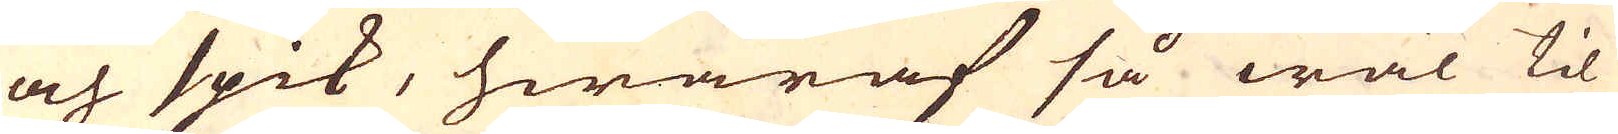och spik, hwaraf så wäl til
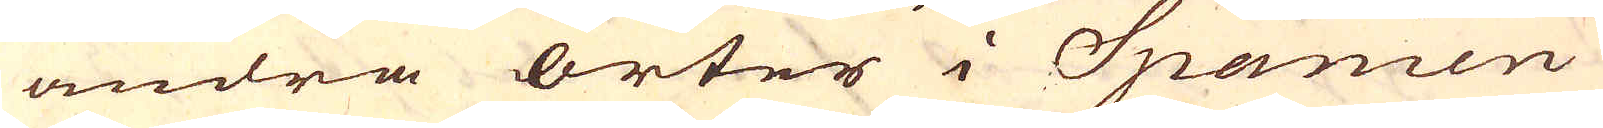andra orter i Spanien
